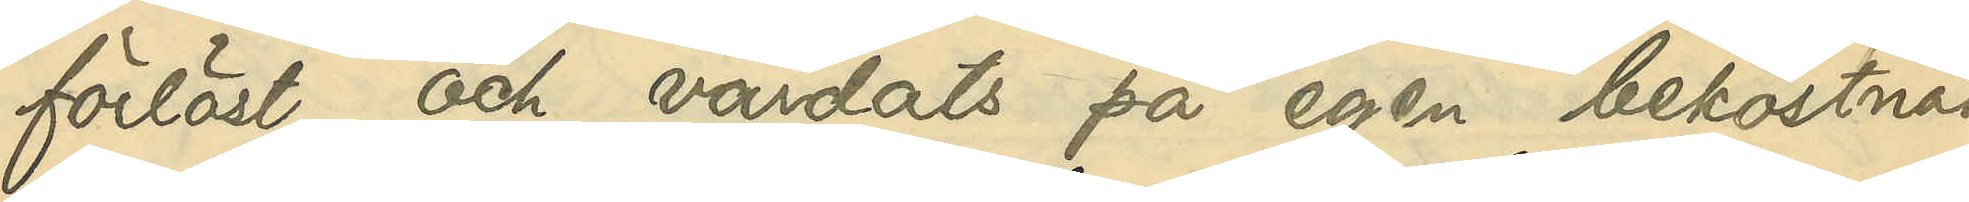förlöst och vårdats på egen bekostnad
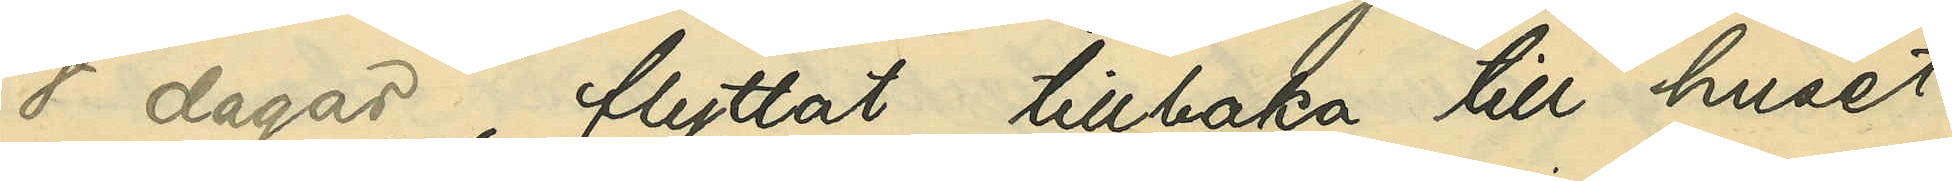8 dagar, flyttat tillbaka till huset
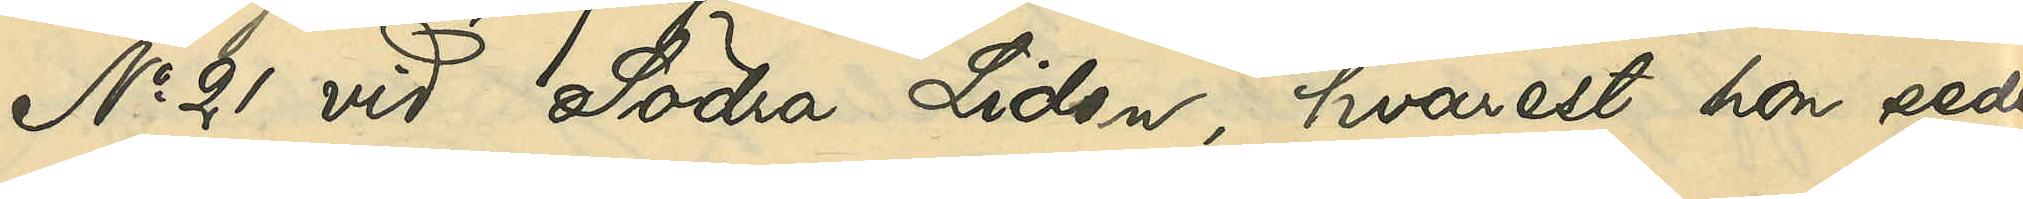No 21 vid Södra LIden, hvarest hon seder¬
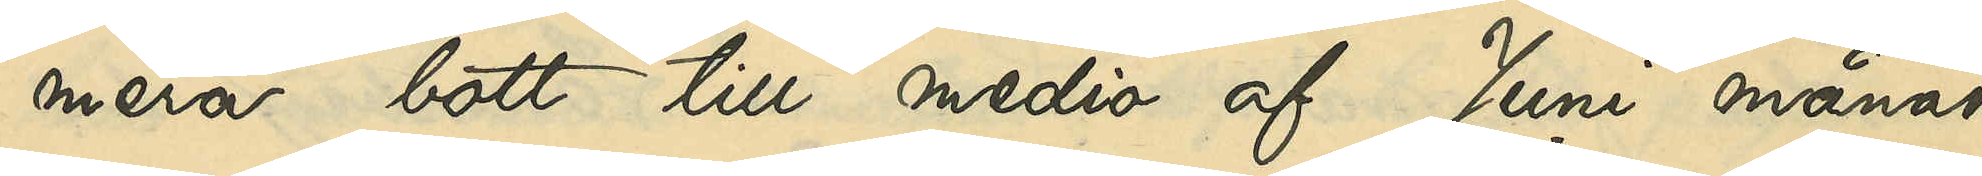mera bott till medio af Juni månad
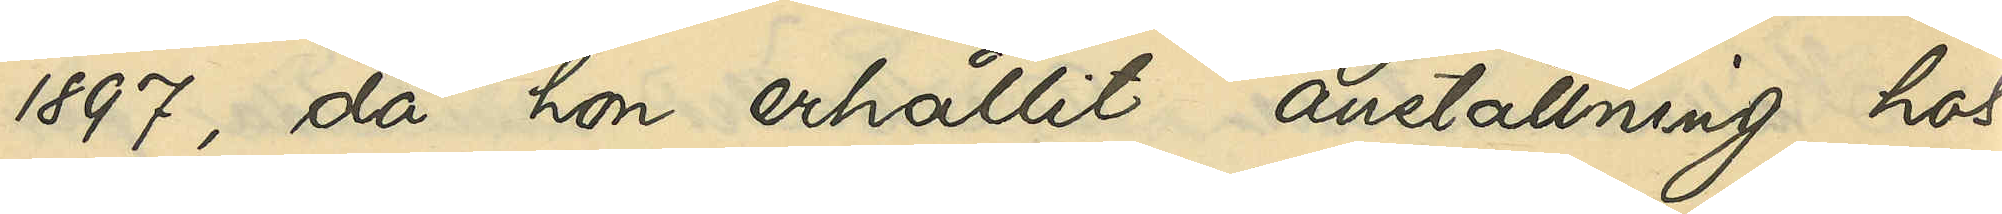1897, då hon erhållit anställning hos
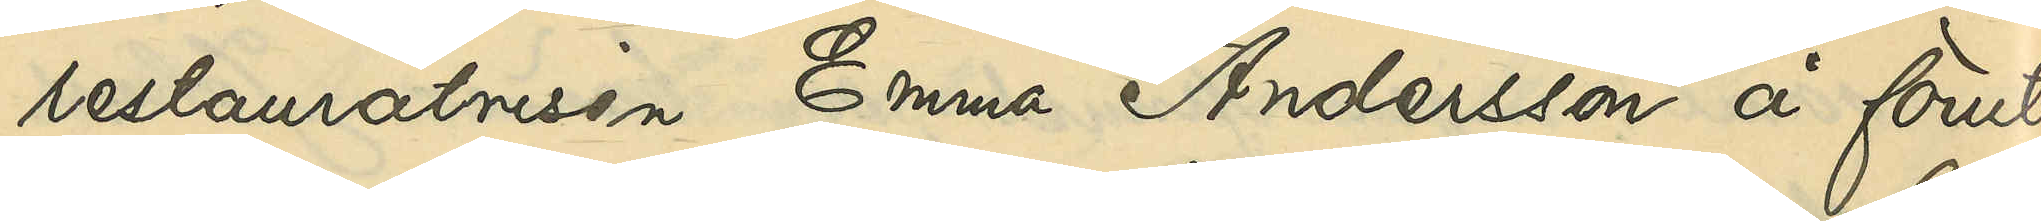restauratrisen Emma Andersson å förut¬
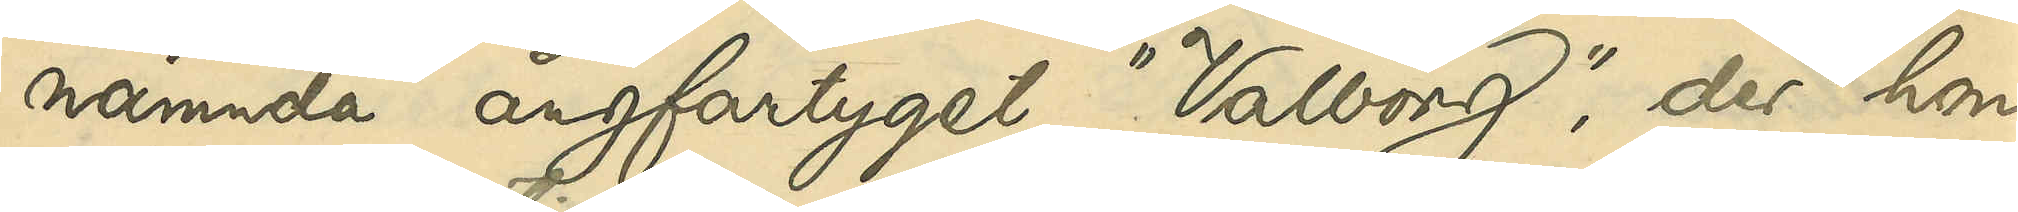nämnda ångfartyget "Valborg", der hon
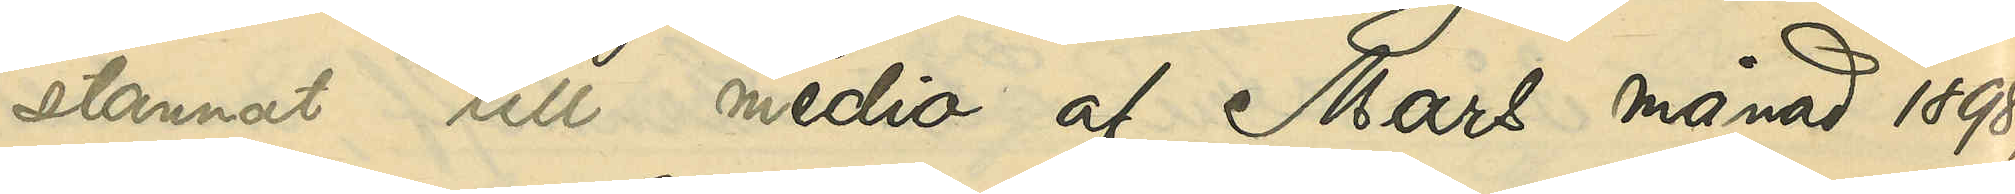stannat till medio af Mars månad 1898,
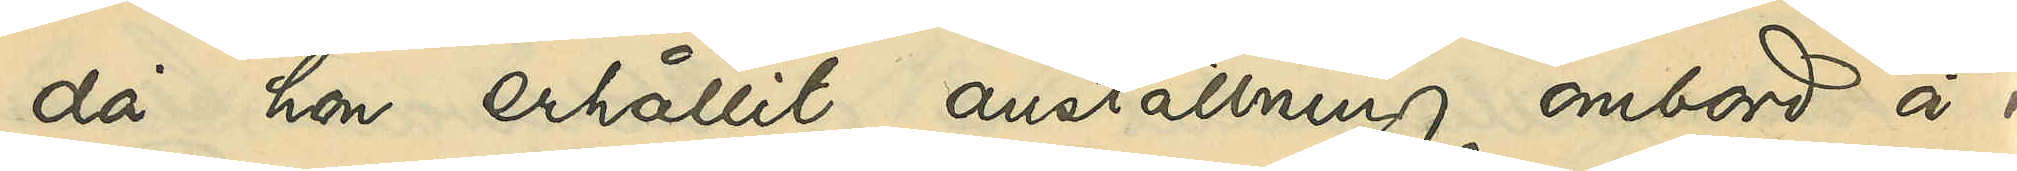då hon erhållit anställning ombord å i
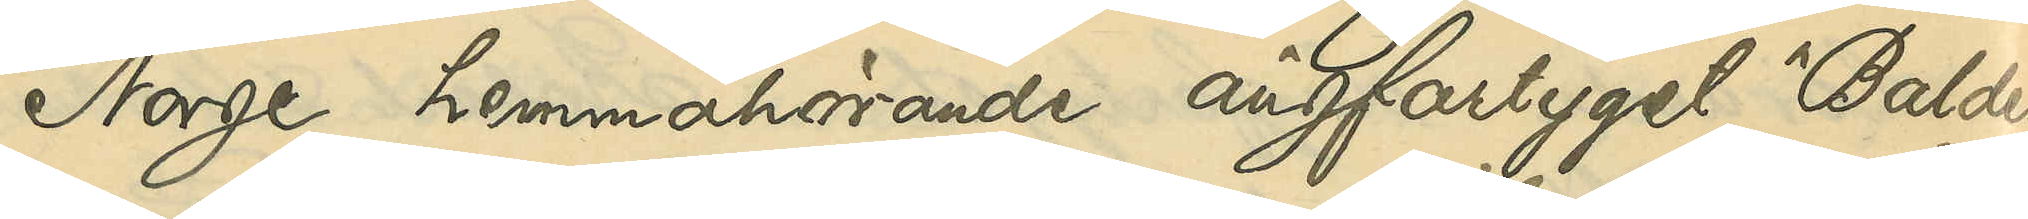Norge hemmahörande ångfartyget "Balder".
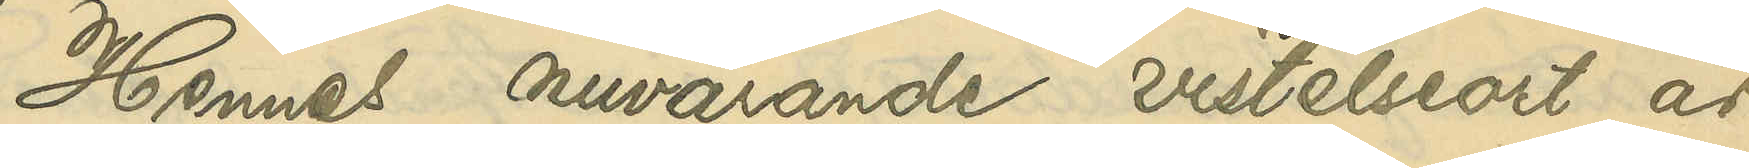Hennes nuvarande vistelseort är
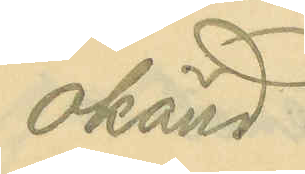okänd.
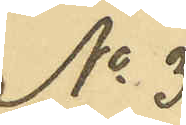No 3
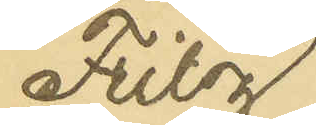Fritz
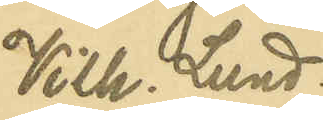Vilh. Lund¬
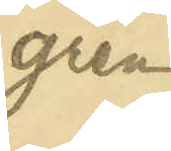gren
